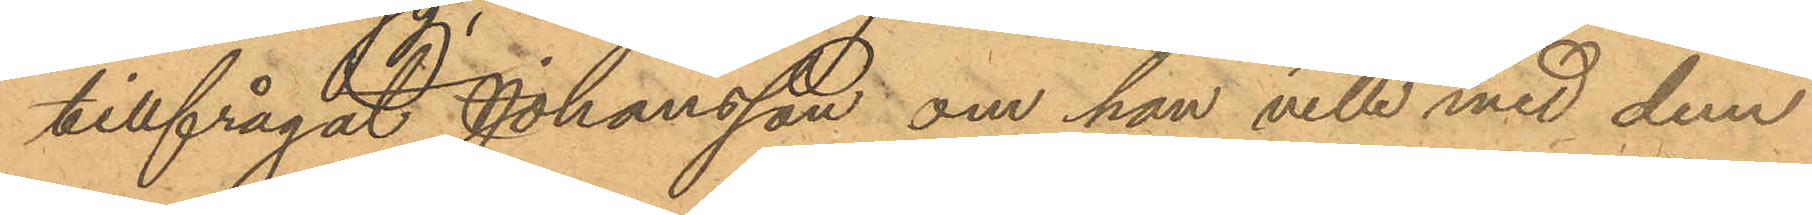tillfrågat Johansson om han ville med dem
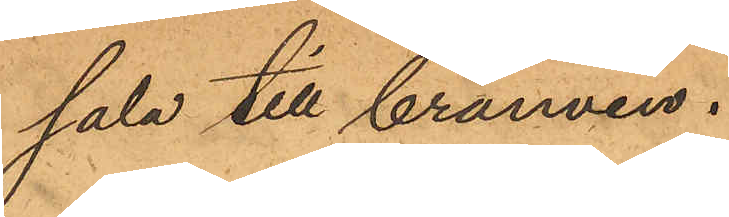sala till brännvin.
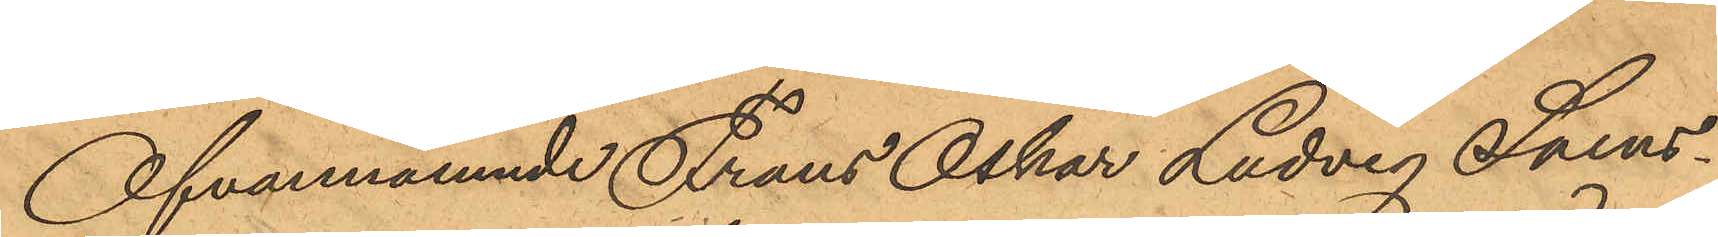Ofvannämnde Frans Oskar Ludvig Svens¬
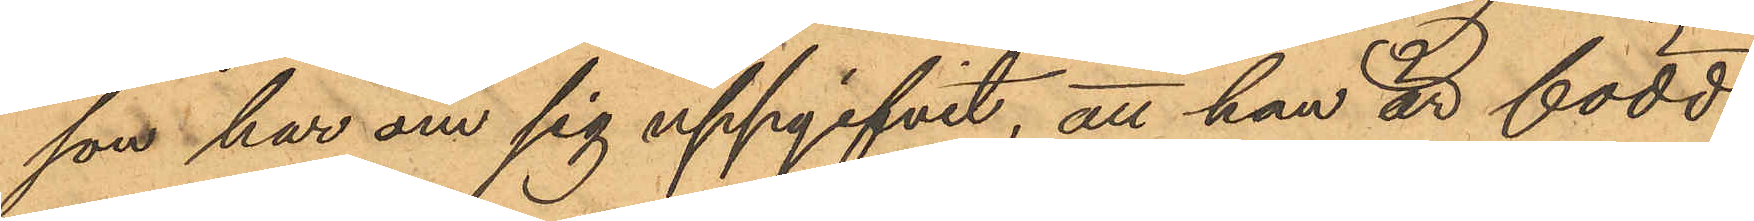son har om sig uppgifvit, att han är född
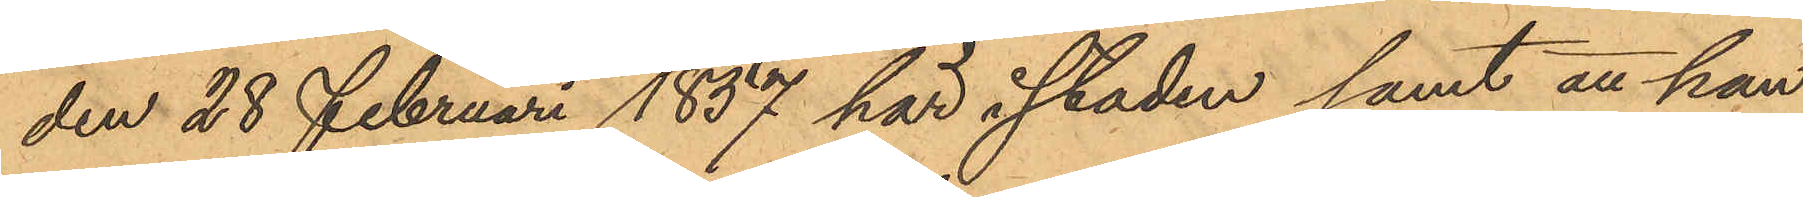den 28 Februari 1837 här i staden samt att han
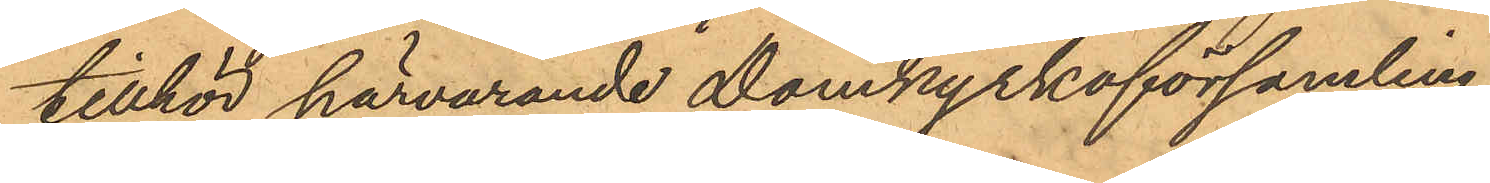tillhör härvarande Domkyrkoförsamling.
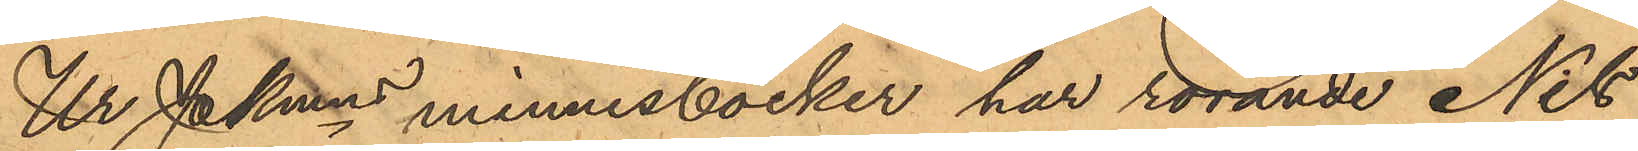Ur PKmns minnesböcker har rörande Nils
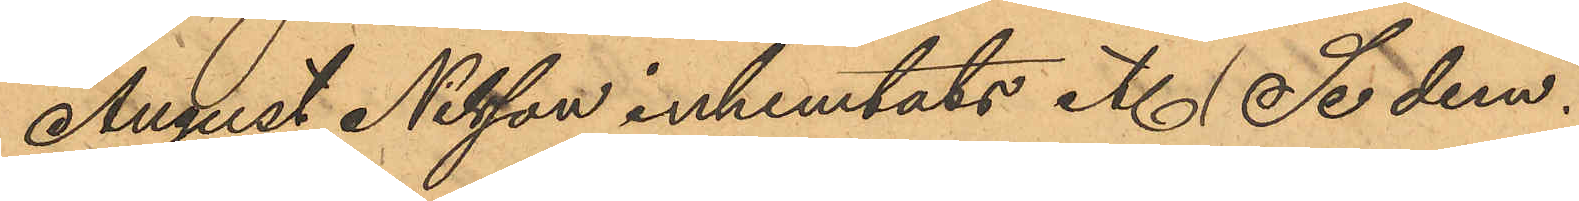August Nilsson inhemtats etc. Sedem.
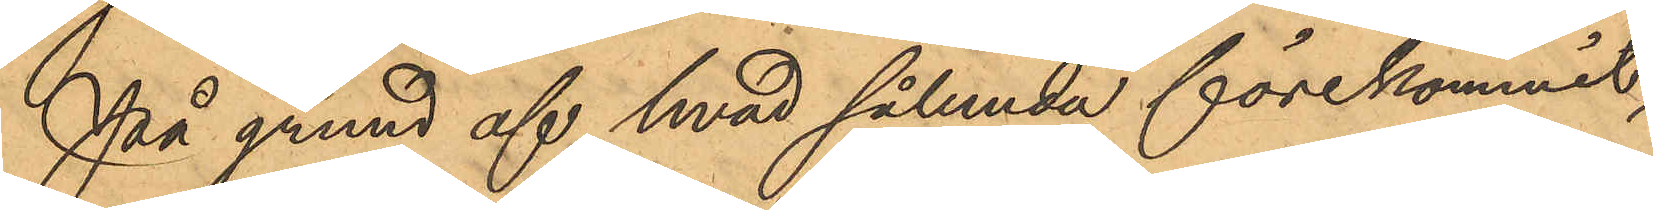På grund af hvad sålunda förekommit,
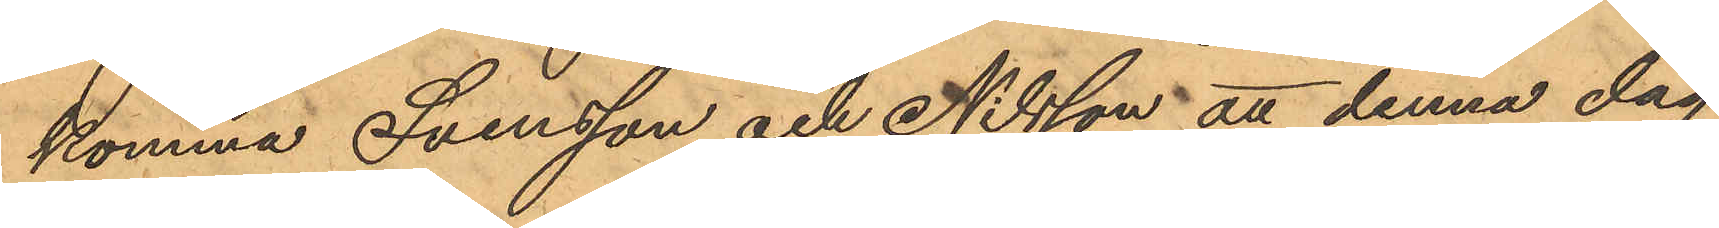komma Svensson och Nilsson att denna dag
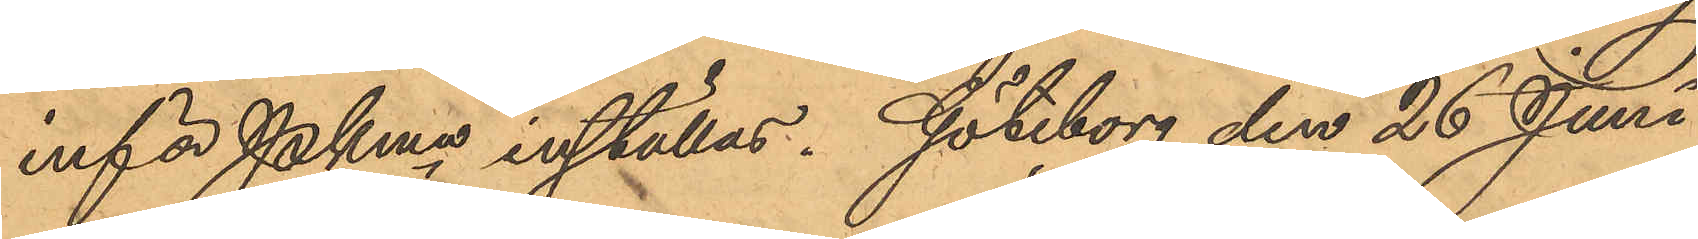inför Pkmn inställas. Göteborg den 26 Juni
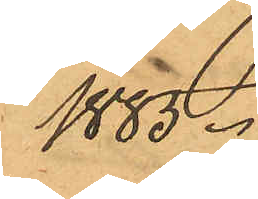1883.
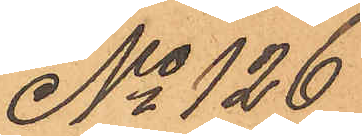No 126
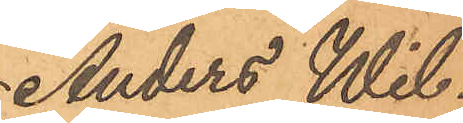Anders Wil¬
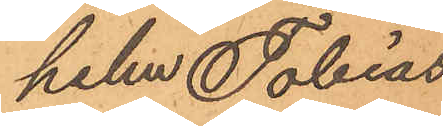helm Tobias
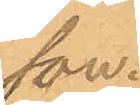son.
